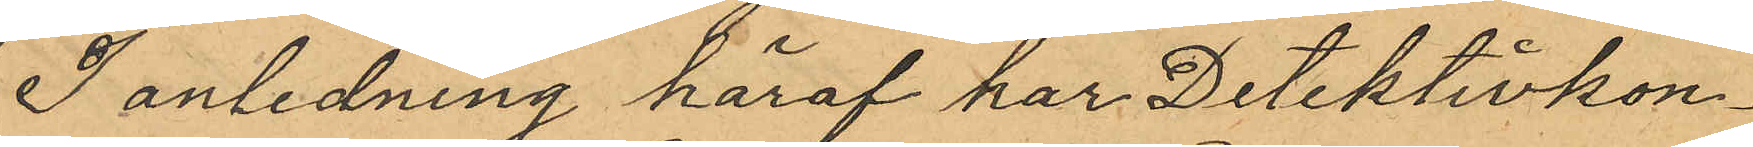I anledning häraf har Detektivkon¬
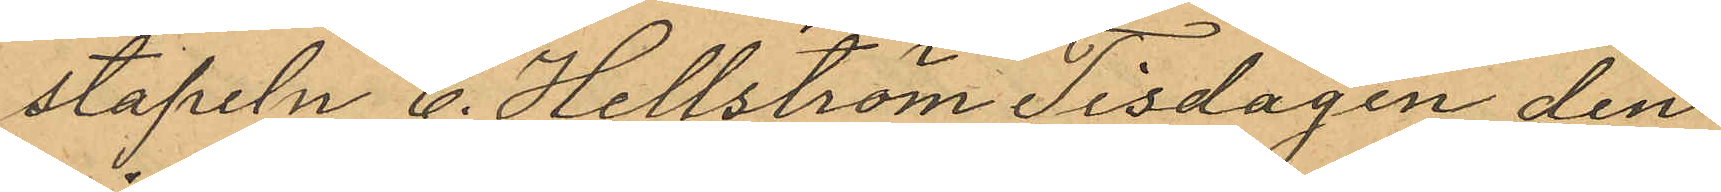stapeln C. Hellström Tisdagen den
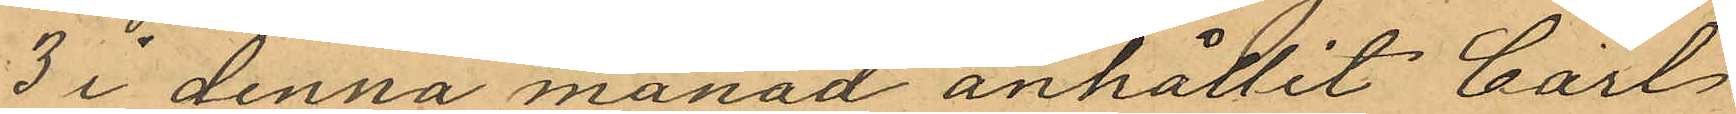3 i denna månad anhållit Carl
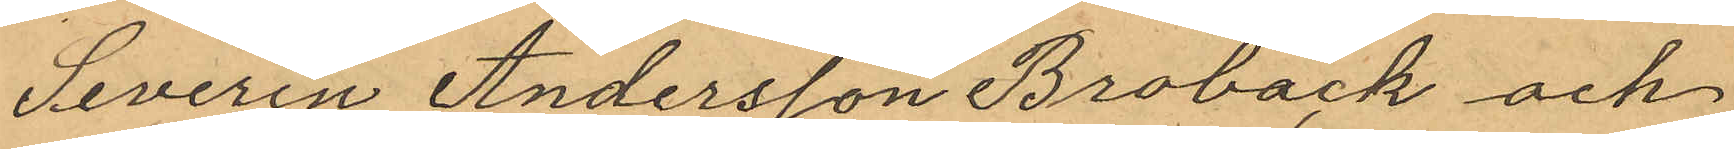Severin Andersson Broback och
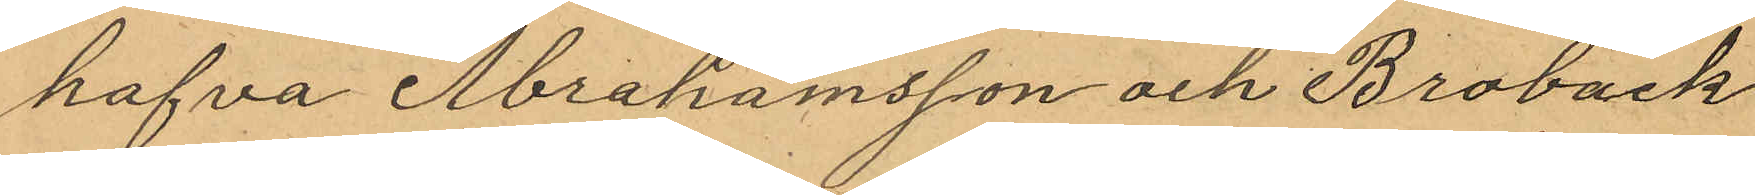hafva Abrahamsson och Broback
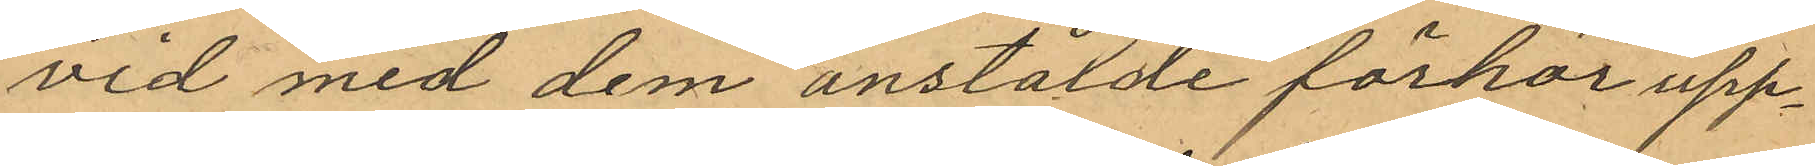vid med dem anstälde förhör upp¬
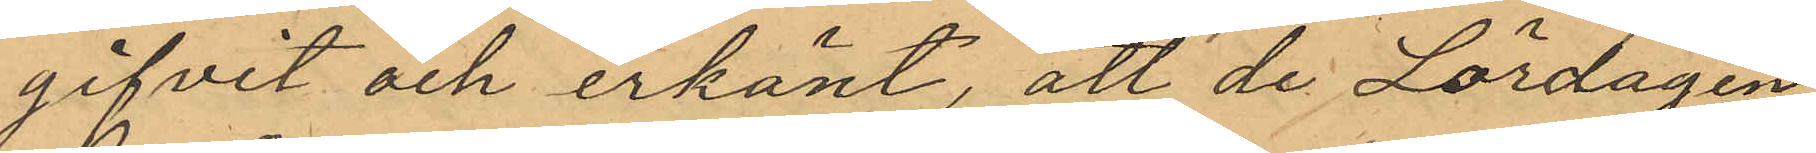gifvit och erkänt, att de Lördagen
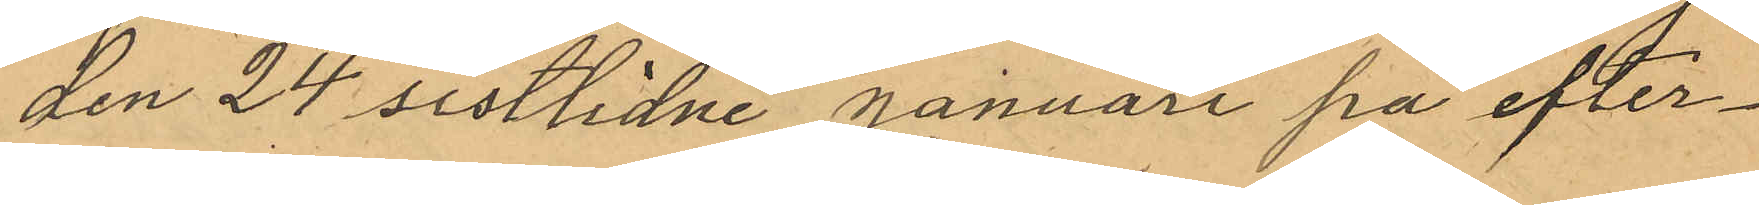den 24 sistlidne Januari på efter¬
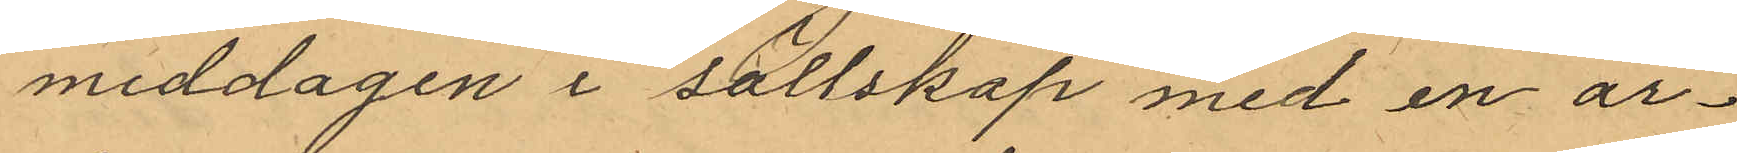middagen i sällskap med en ar¬
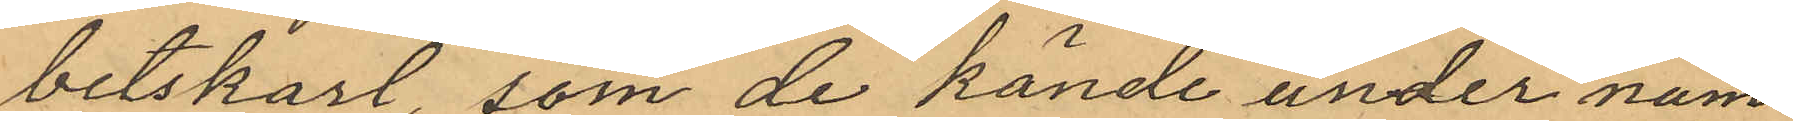betskarl, som de kände under nam¬
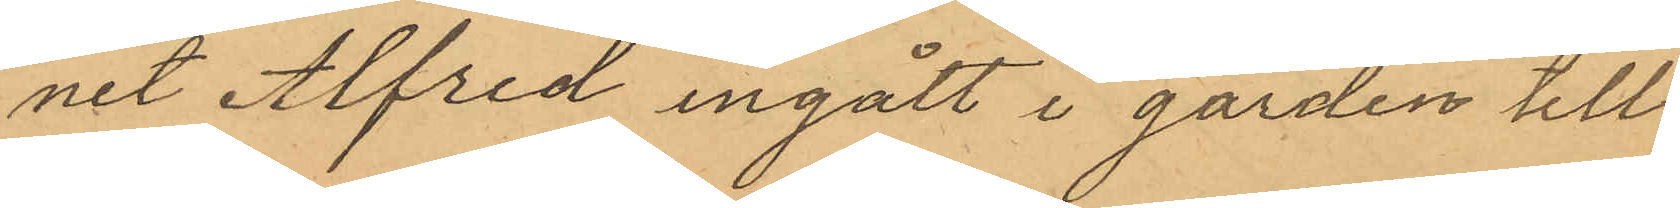net Alfred ingått i gården till
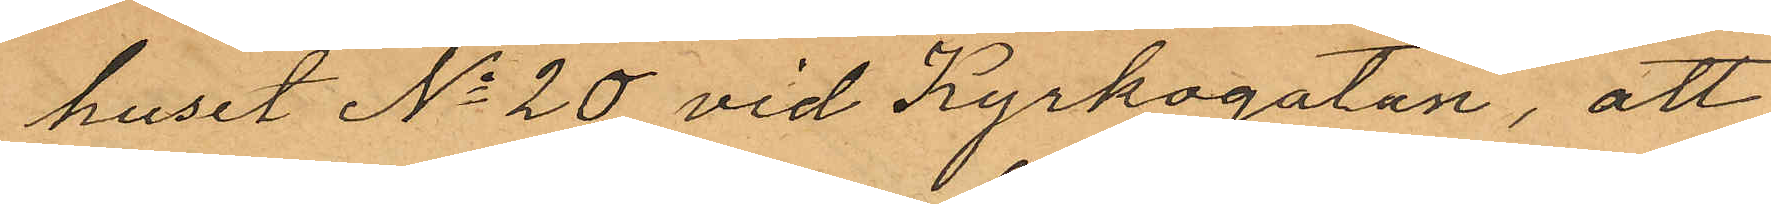huset No 20 vid Kyrkogatan, att
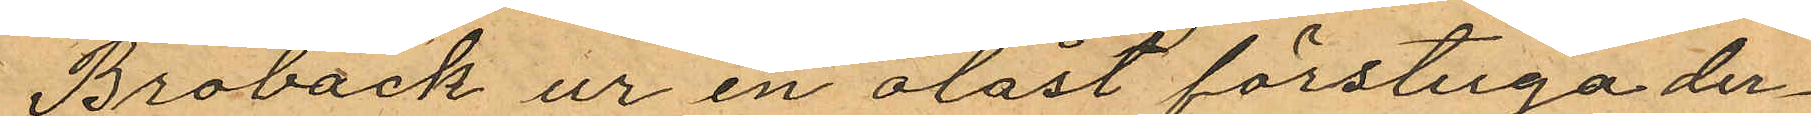Broback ur en olåst förstuga der¬
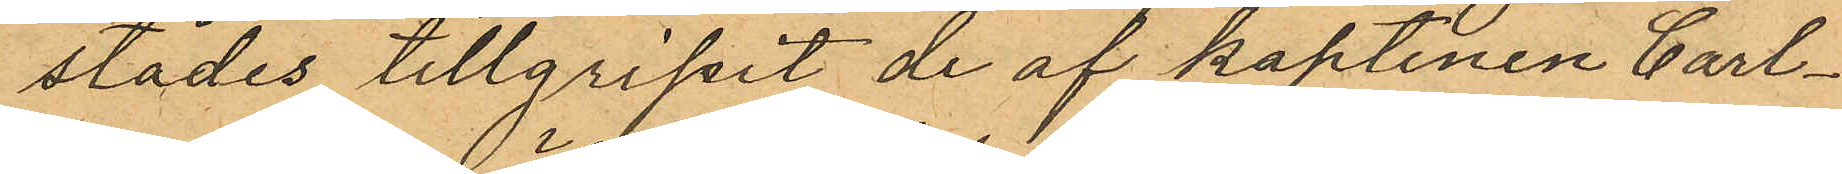städes tillgripit de af kaptenen Carl¬
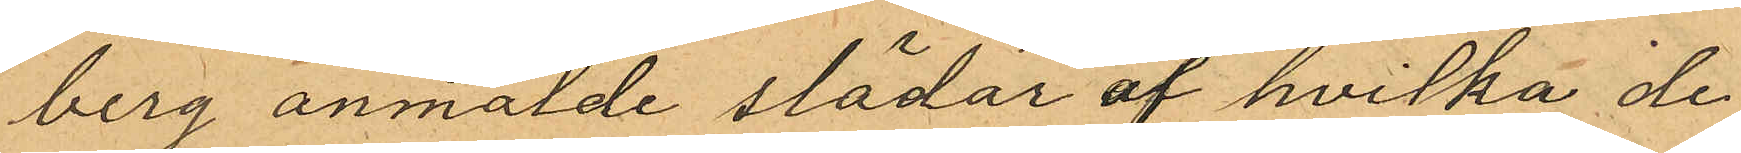berg anmälde slädar af hvilka de
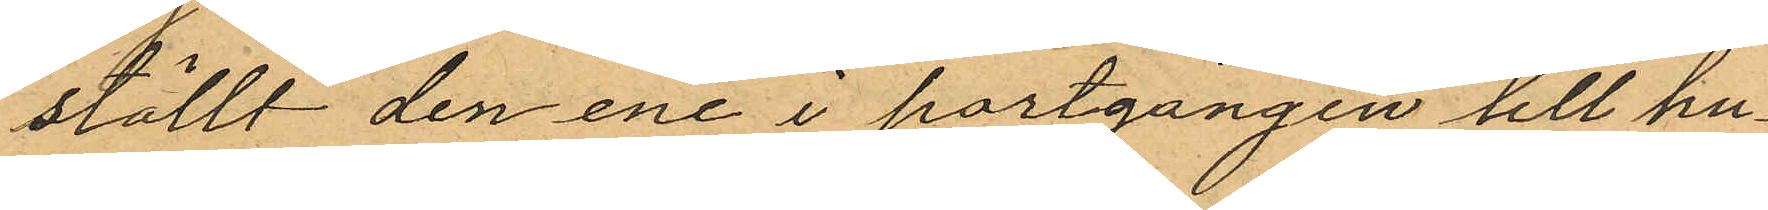ställt den ene i portgången till hu¬
